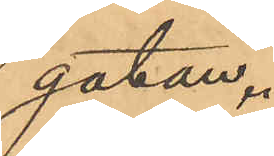gatan.
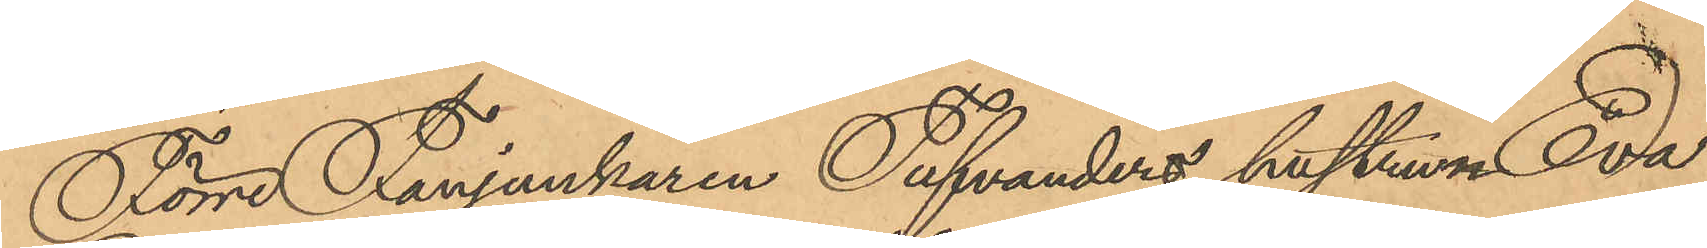Förre Fanjunkaren Tufvanders hustrun Eva
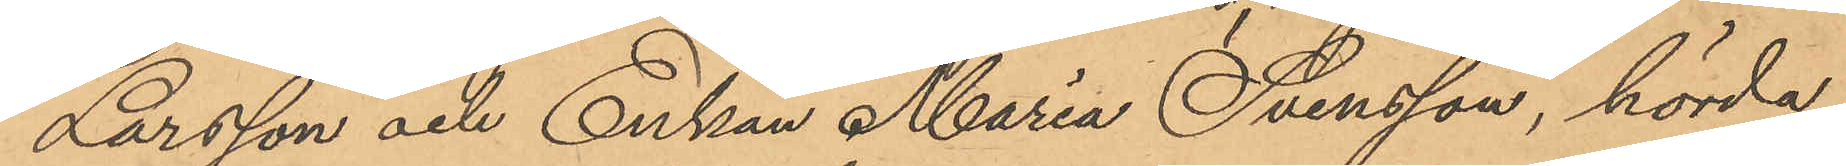Larsson och Enkan Maria Svensson, hörda
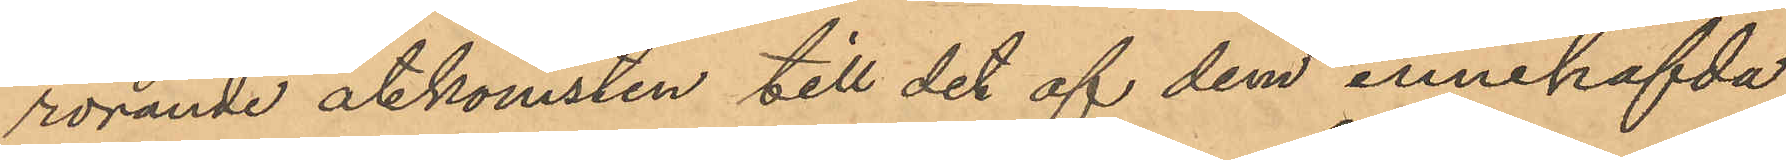rörande åtkomsten till det af dem innehafvda
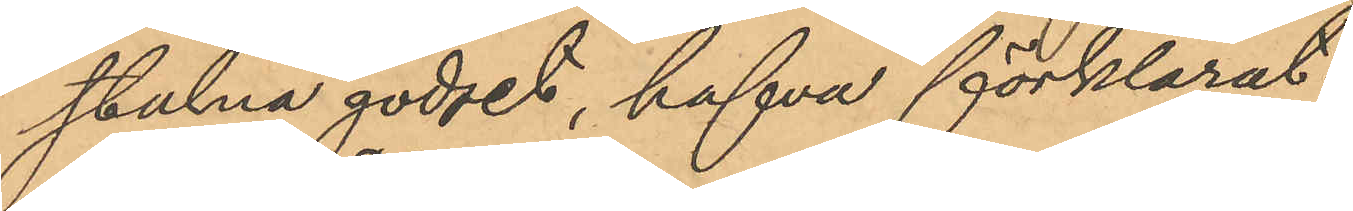stulna godset, hafva förklarat:
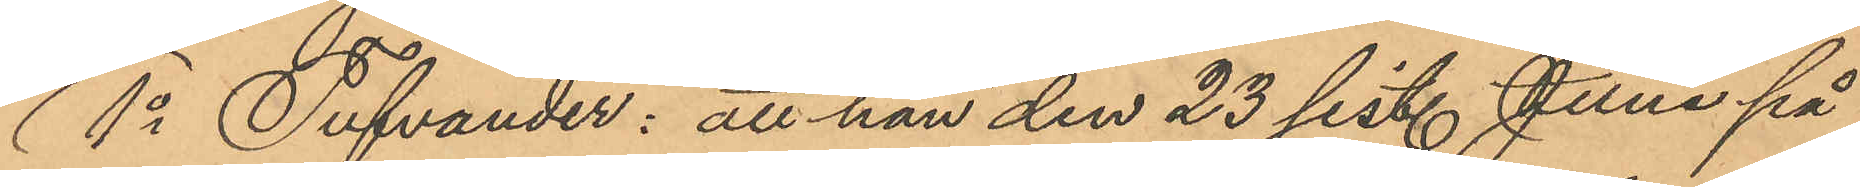1o Tufvander: att han den 23 sist. Juni på
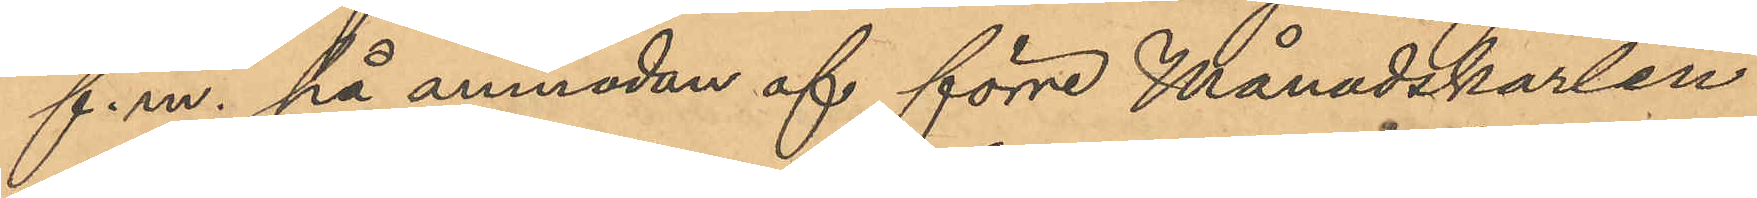f.m. på anmodan af förre Månadskarlen
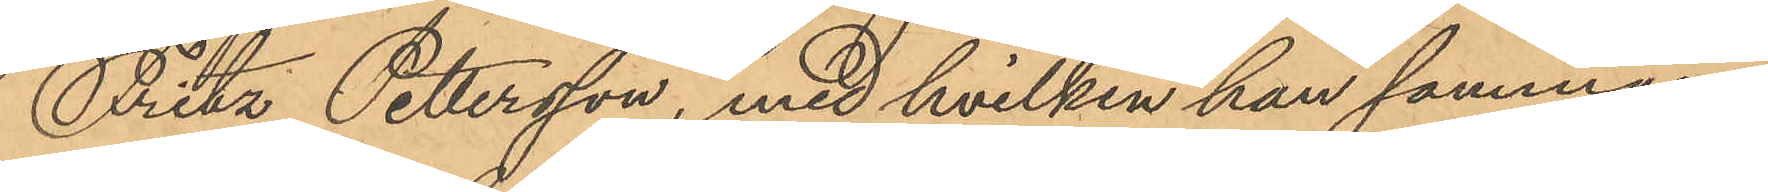Fritz Pettersson, med hvilken han samman¬
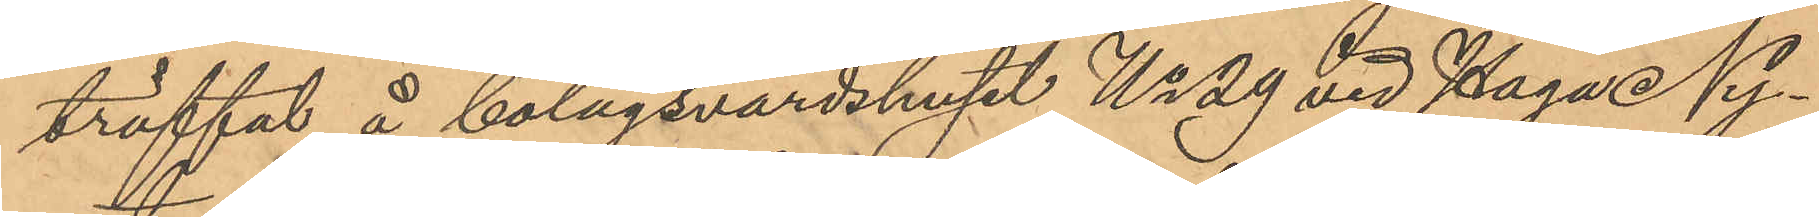träffat å bolagsvärdshuset No 29 vid Haga Ny¬
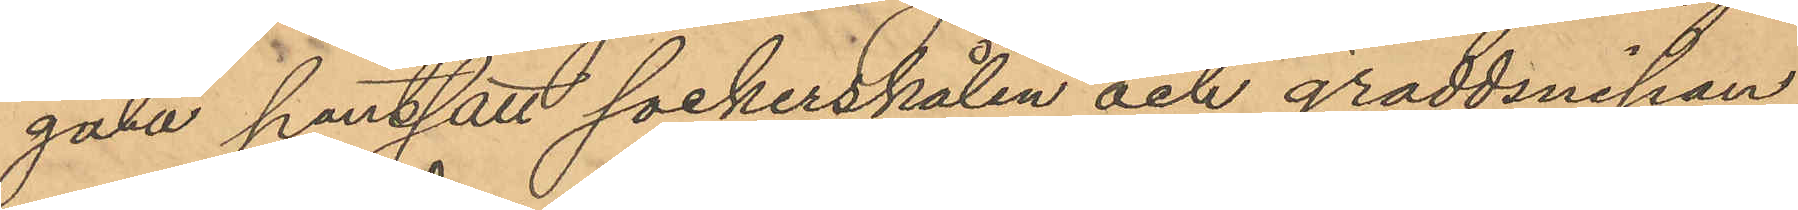gata pantsatt sockerskålen och gräddsnipan
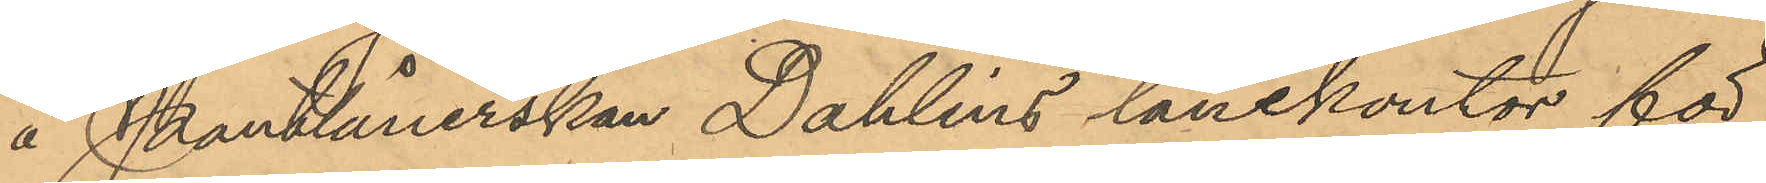å Pantlånerskan Dahlins lånekontor för
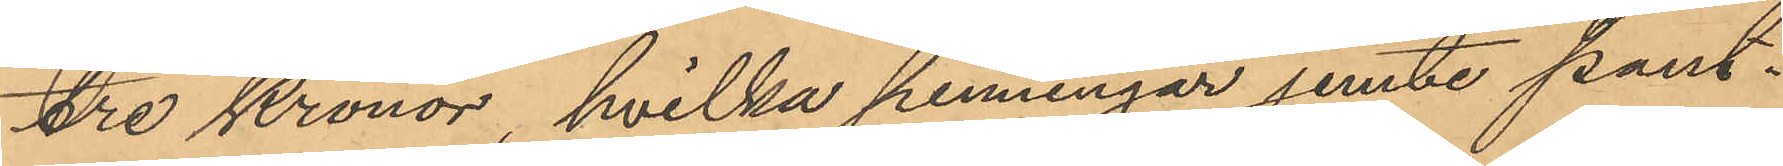Tre Kronor, hvilka penningar jemte pant¬
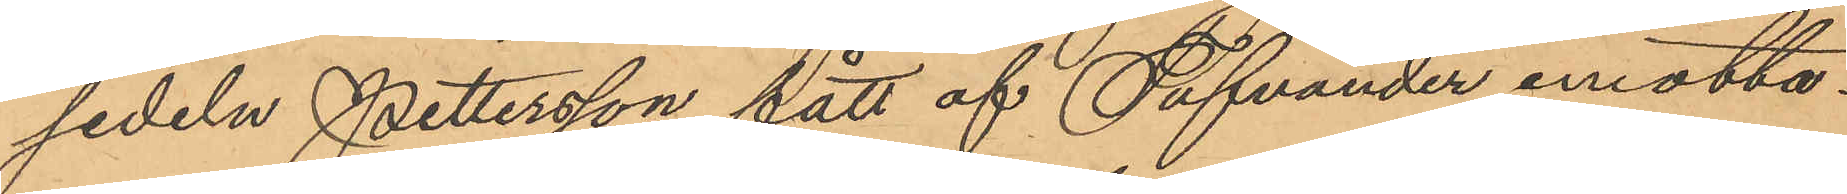sedeln Pettersson fått af Tufvander emotta¬
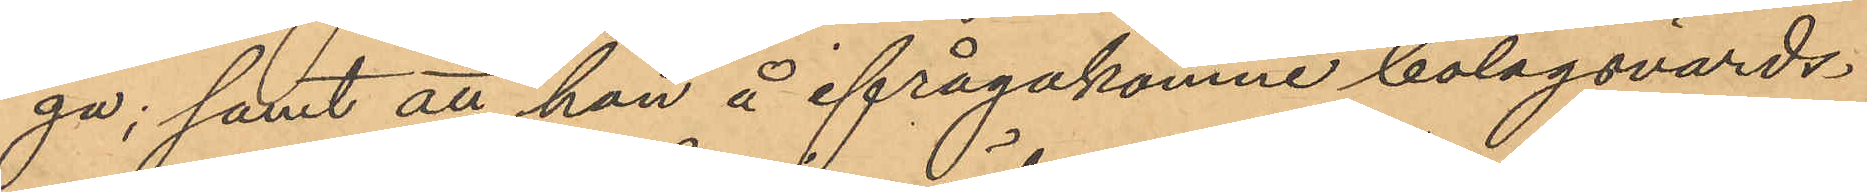ga; samt att han å ifrågakomne bolagsvärds¬
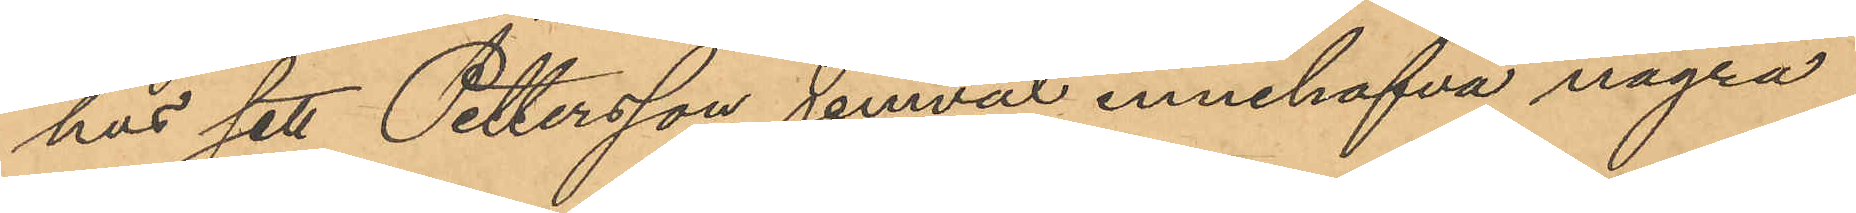hus sett Pettersson jemväl innehafva några
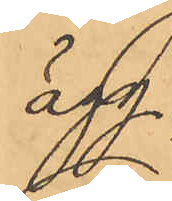ägg;
